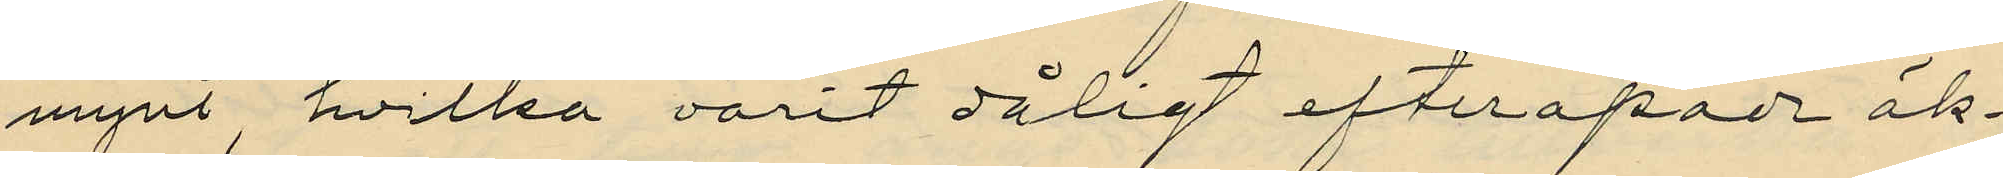mynt hvilka varit dåligt efterapade äk¬
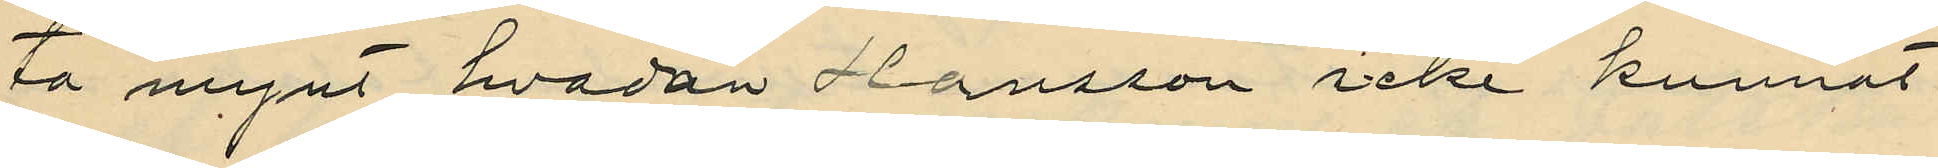ta mynt, hvadan Hansson icke kunnat
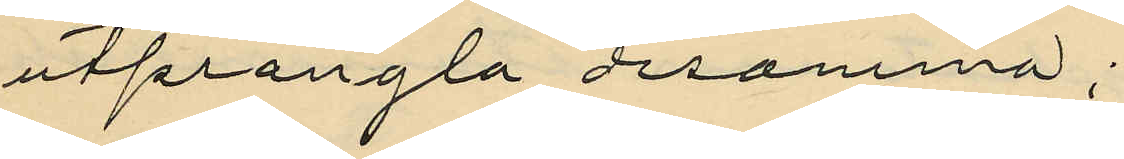utprångla desamma;
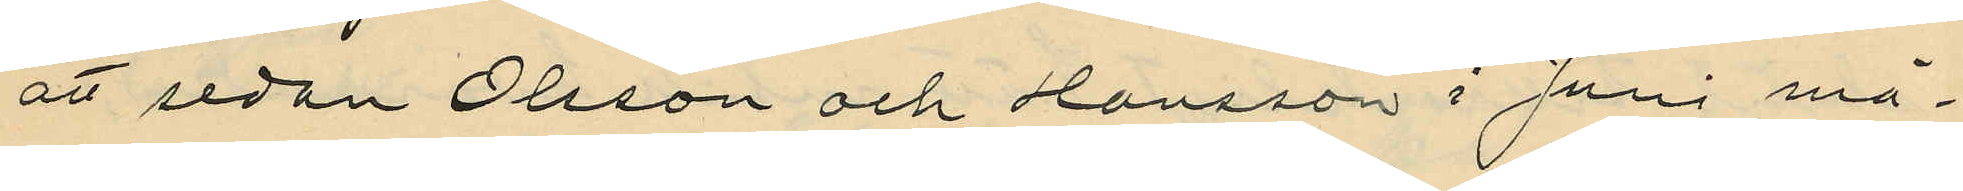att sedan Olsson och Hansson i Juni må¬
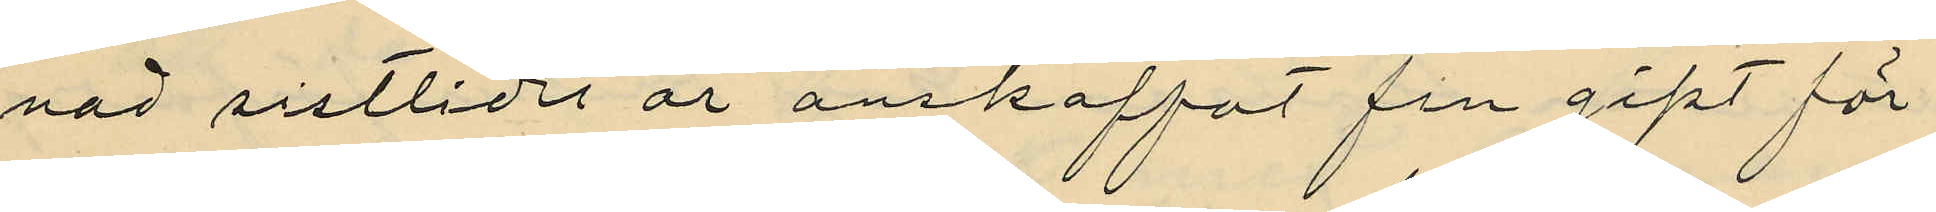nad sistlidet år ankaffat fin gips för
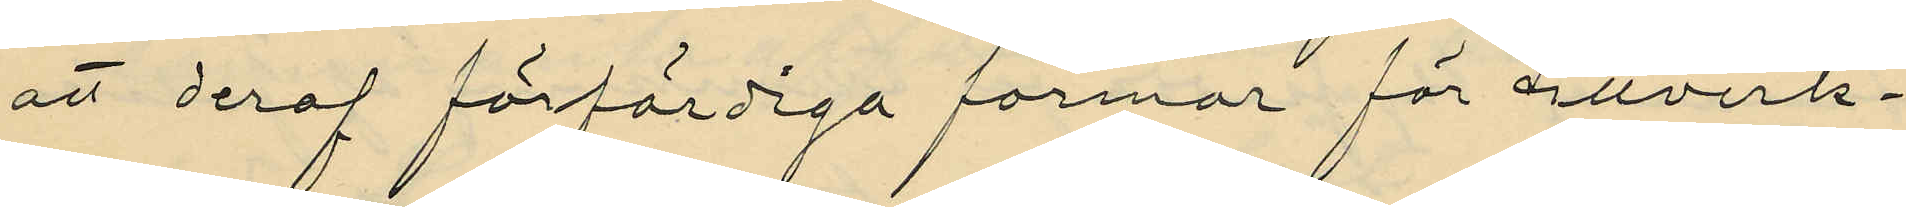att deraf förfärdiga formar för tillverk¬
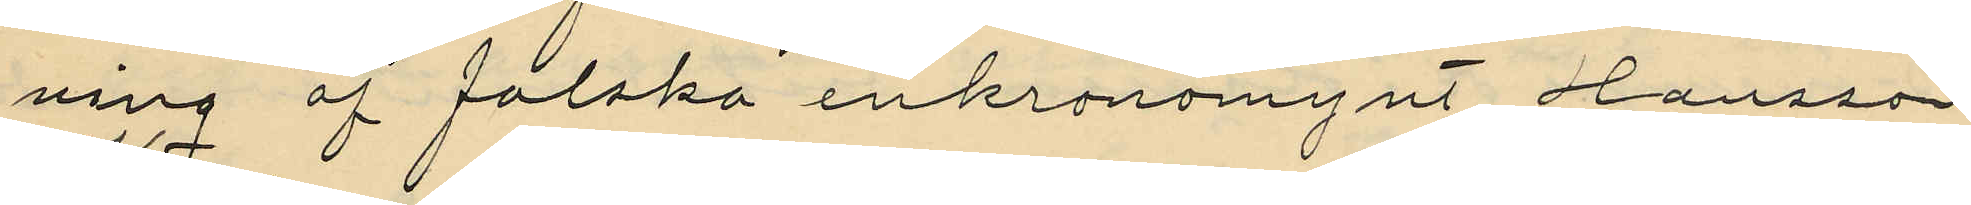ning af falska enkronomynt, Hansson
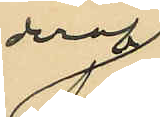deraf
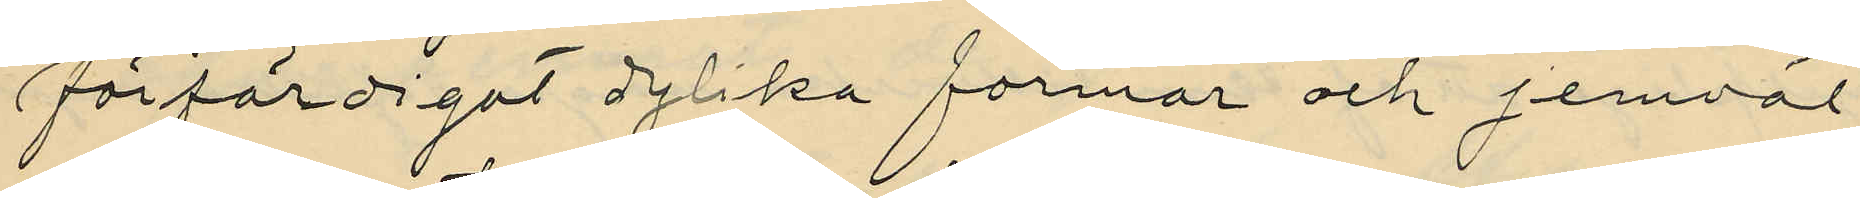förfärdigat dylika formar och jemväl
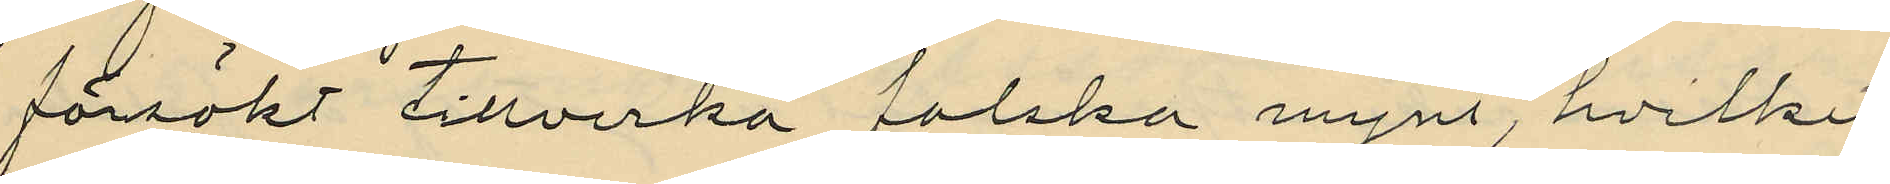försökt tillverka falska mynt, hvilket
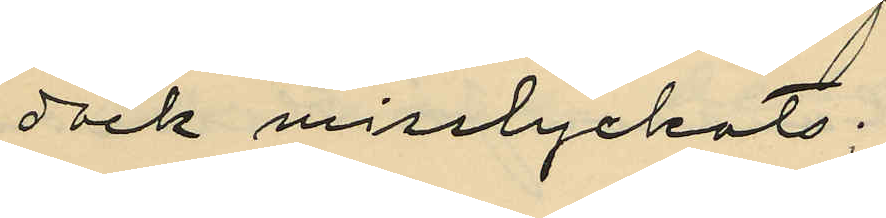dock misslyckats;
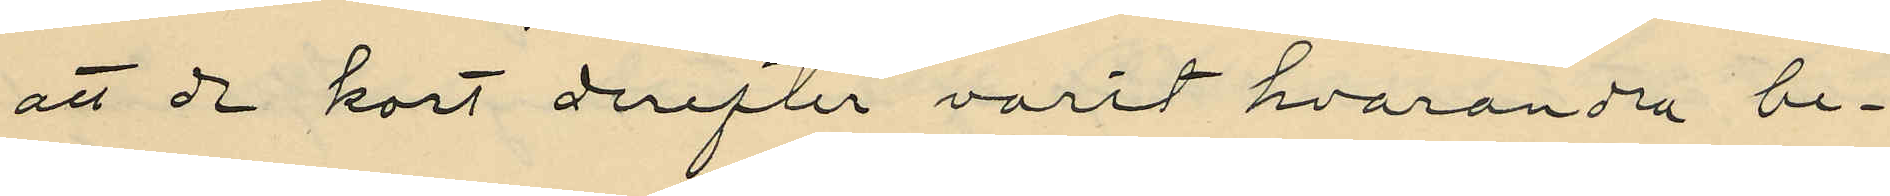att de kort derefter varit hvarandra be¬
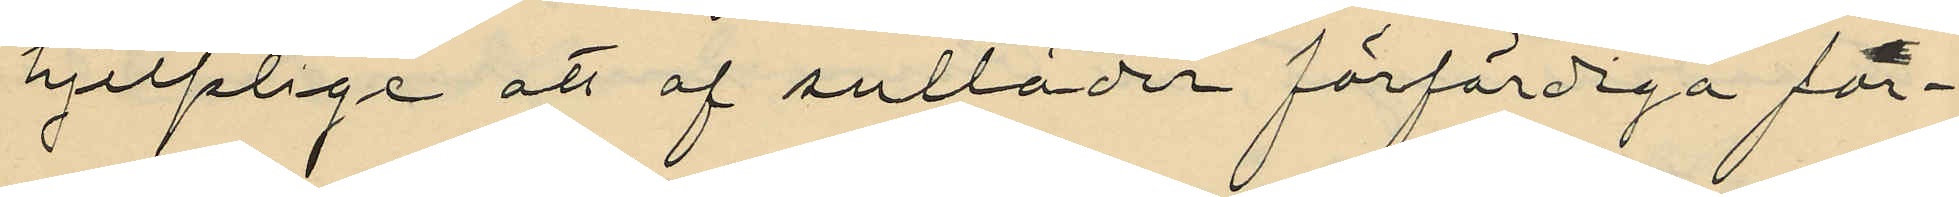hjelplige att af sulläder förfärdiga for¬
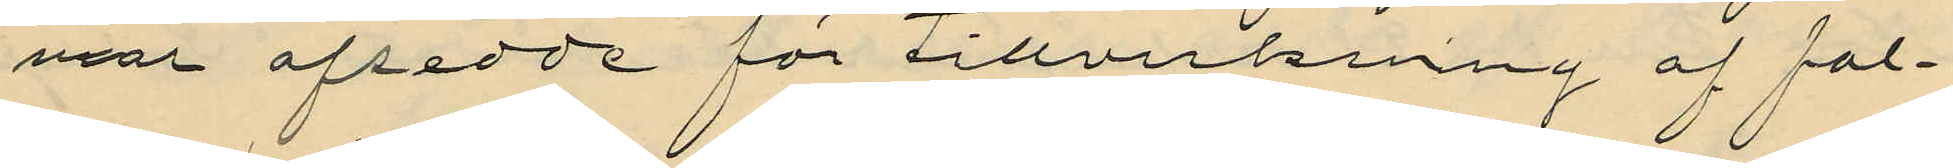mar afsedde för tillverkning af fal¬
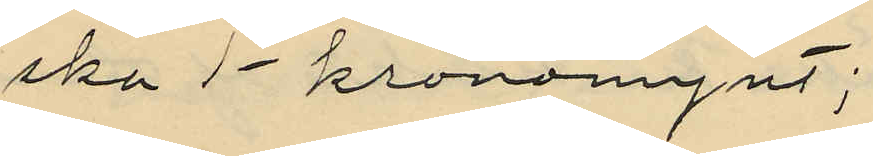ska 1-kronorynt;
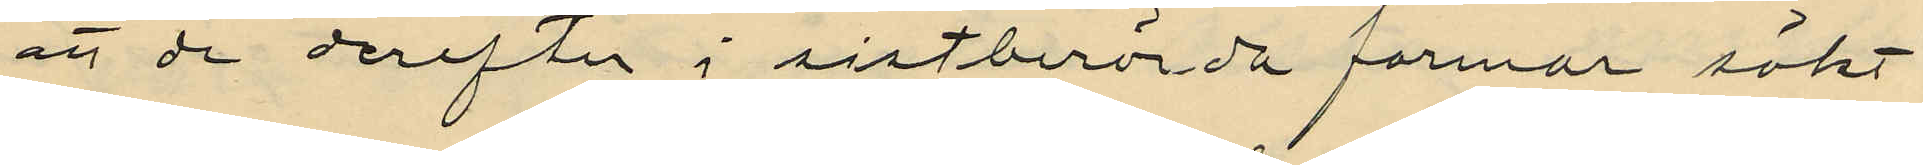att de derefter i sistberörda formar sökt
